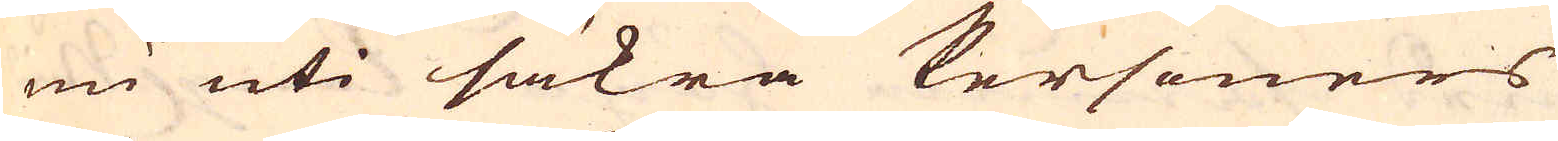nu uti säkra Personers
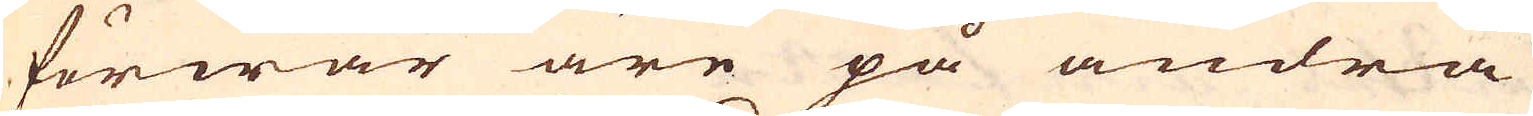förwar äre på andra
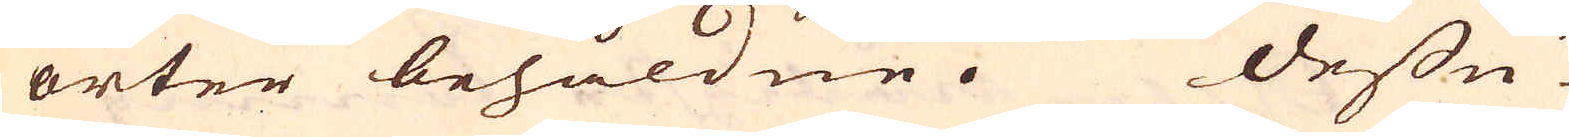orter behåldne. Dessu-
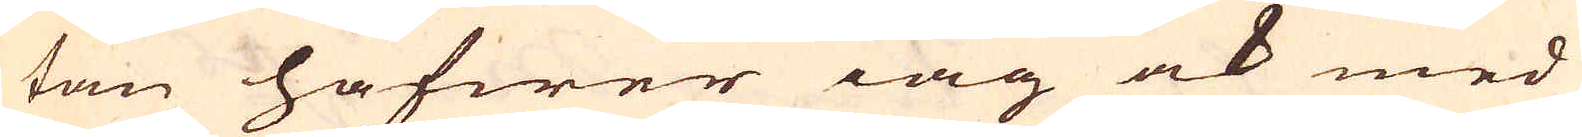tan hafwer iag ock med
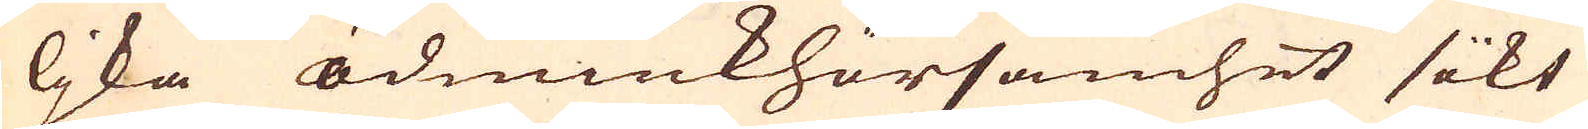ljka ödmiukhörsamhet sikt
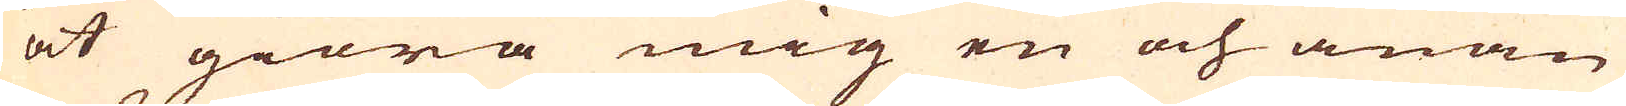at giöra mig en och anan
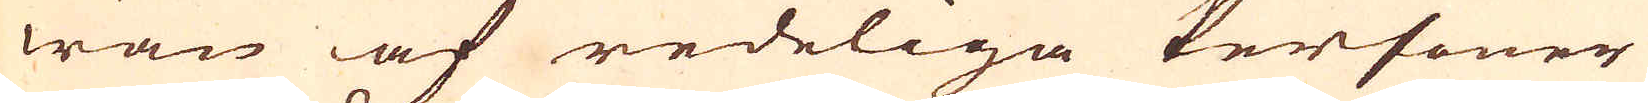wän af redeliga Personer
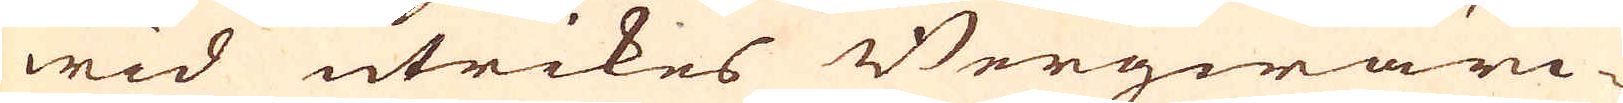wid utrikes Bergwärc-
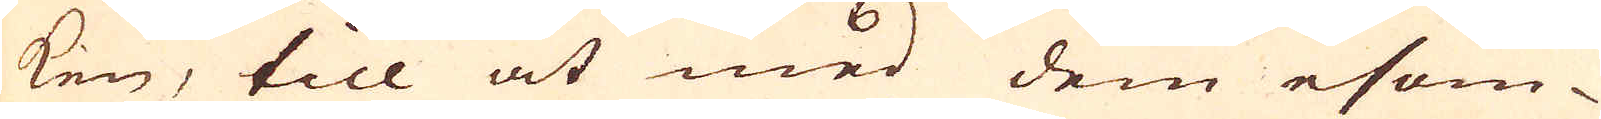ken, till at med dem esom-
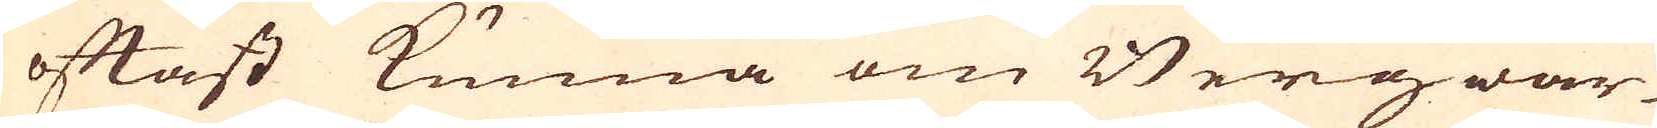oftast kunna om Bergwär-
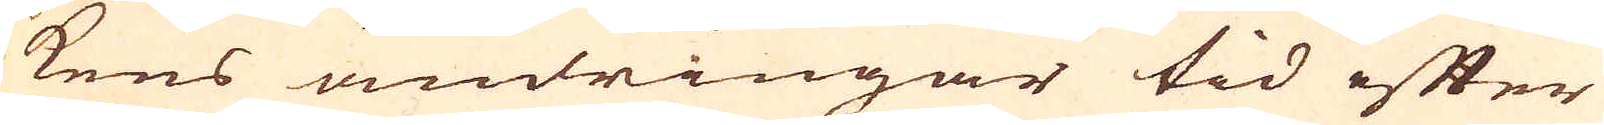kens ändringar tid efter
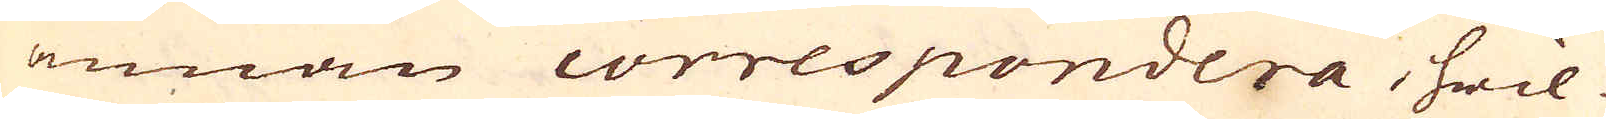annan correspondera, hwil-
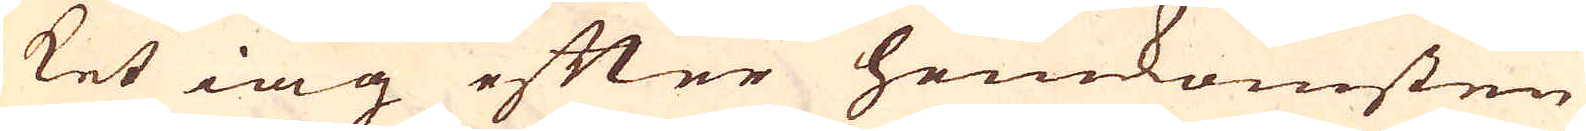ket iag efter hemkomsten
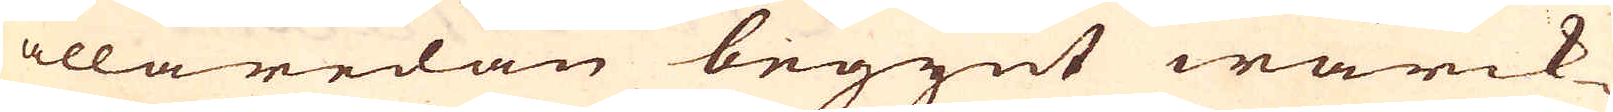allaredan begynt wärck-
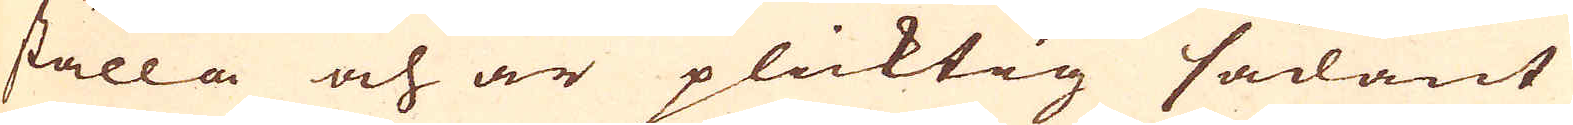ställa och är plicktig sådant
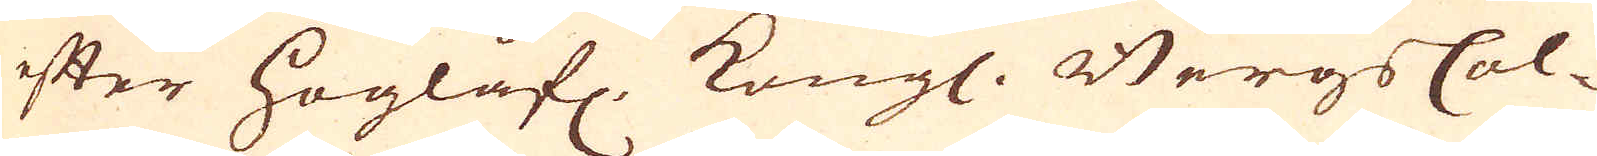efter Höglofl. Kongl. Bergs Col-
